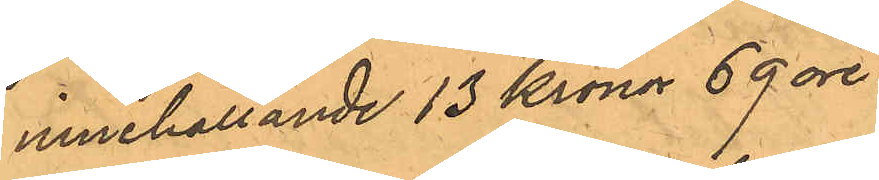innehållande 13 Kronor 69 öre.
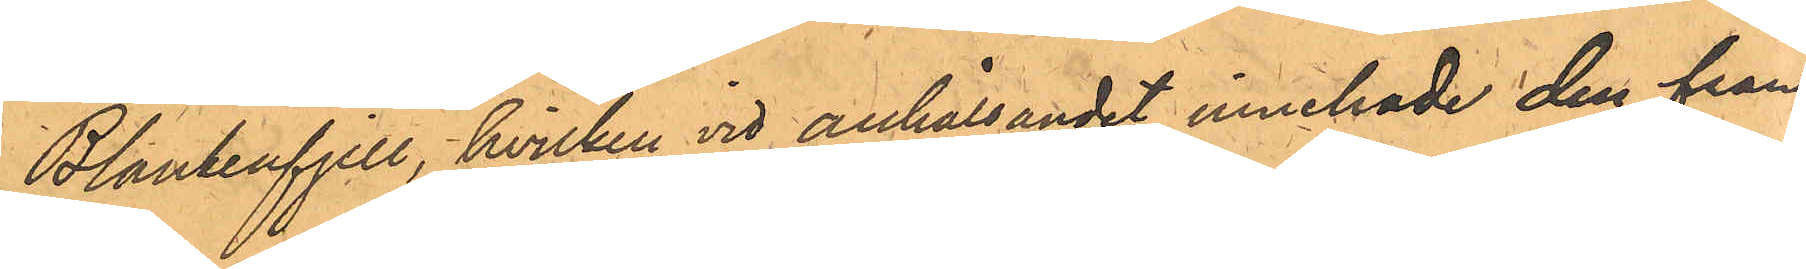Blankenfjell, hvilken vid anhållandet innehade den från
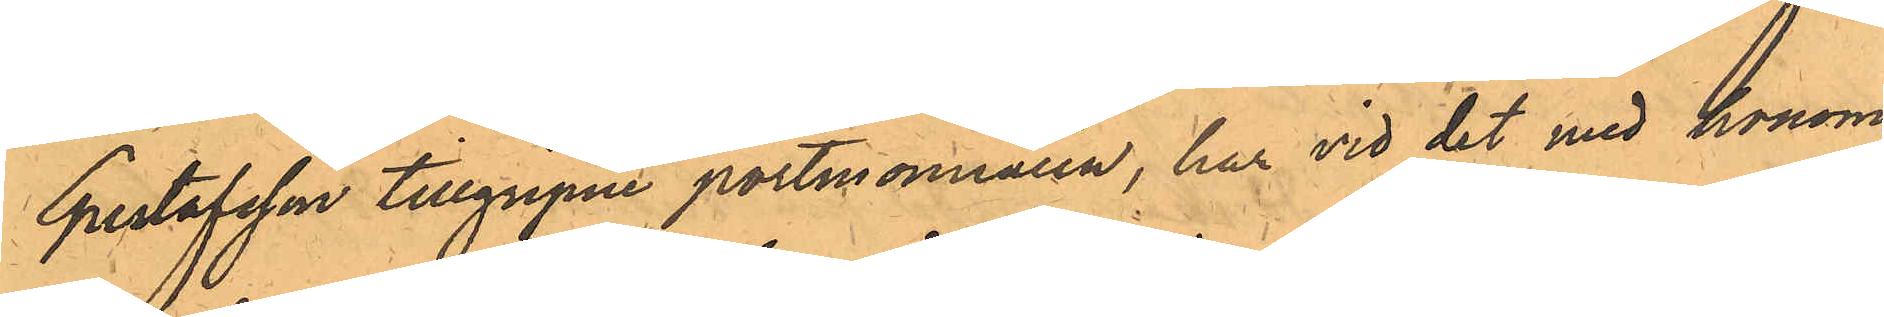Gustafsson tillgripne portmonnaien, har vid det med honom
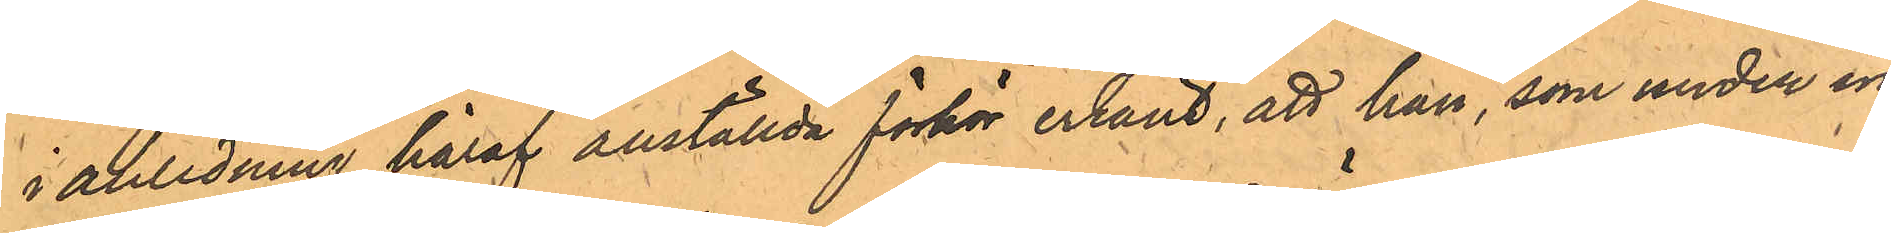i anledning häraf anställda förhör erkänt, att han, som under in¬
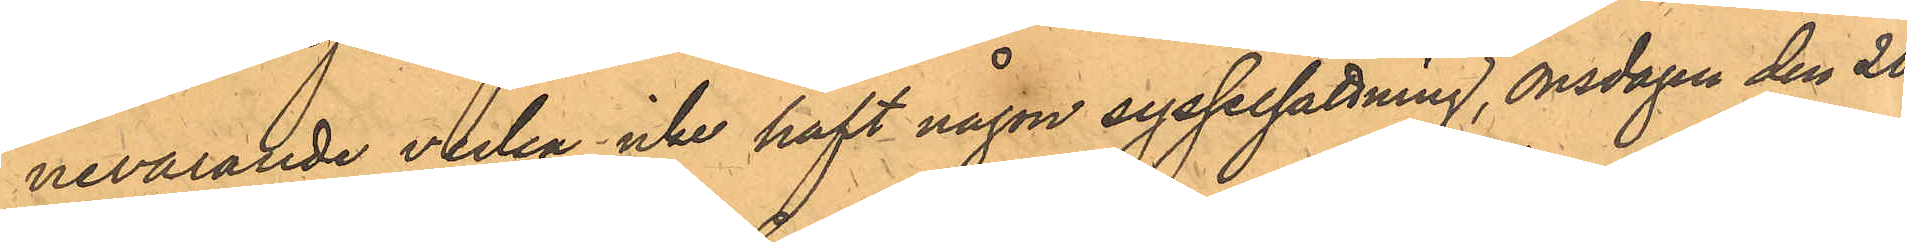nevarande vecka icke haft någon sysselsättning, onsdagen den 20
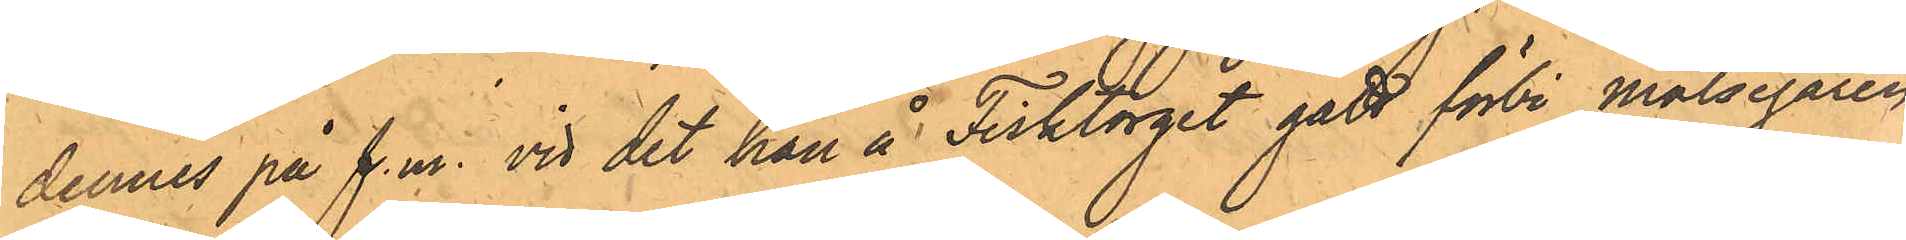dennes på f.m. vid det han å Fisktorget gått förbi målsegaren,
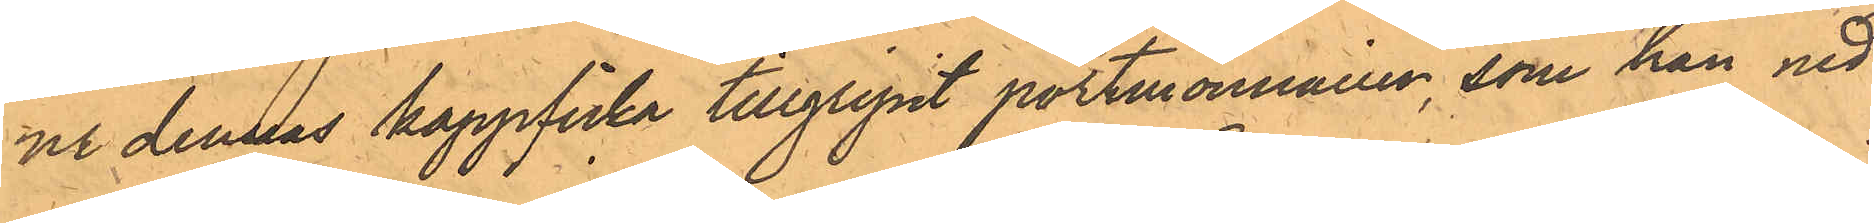ur dennas kappficka tillgripit portmonnaien, som han ned¬
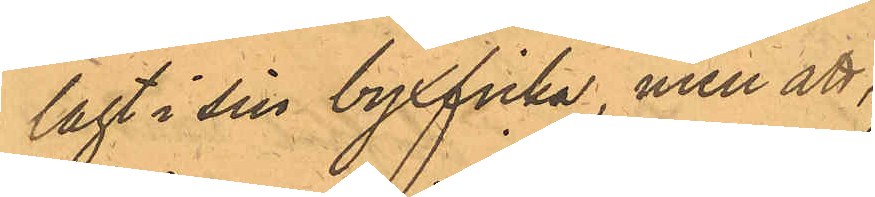lagt i sin byxficka, men att,
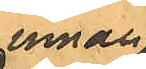innan
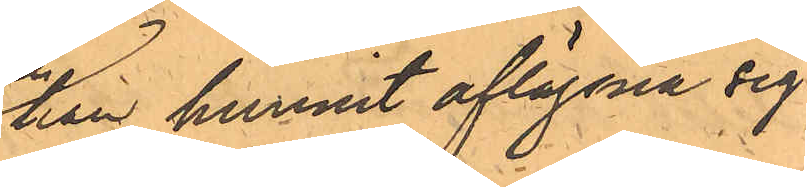han hunnit aflägsna sig
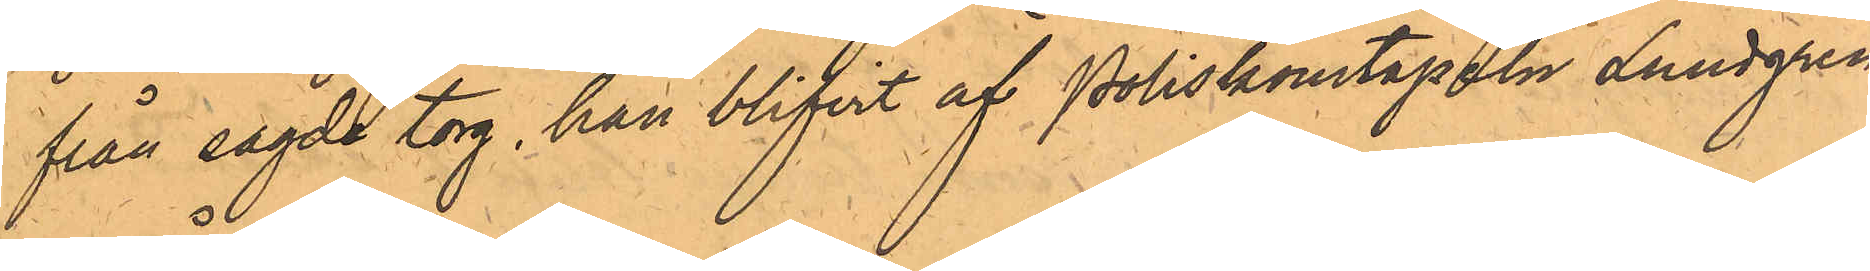från sagde torg, han blifvit af Poliskonstapeln Lundgren
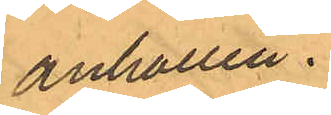anhållen.
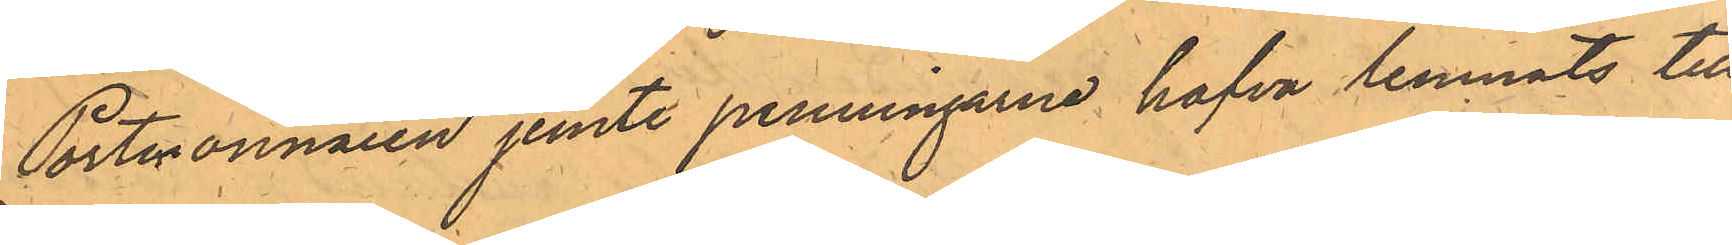Portmonnaien jemte penningarne hafva lemnats till
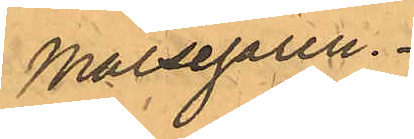Målsegaren.
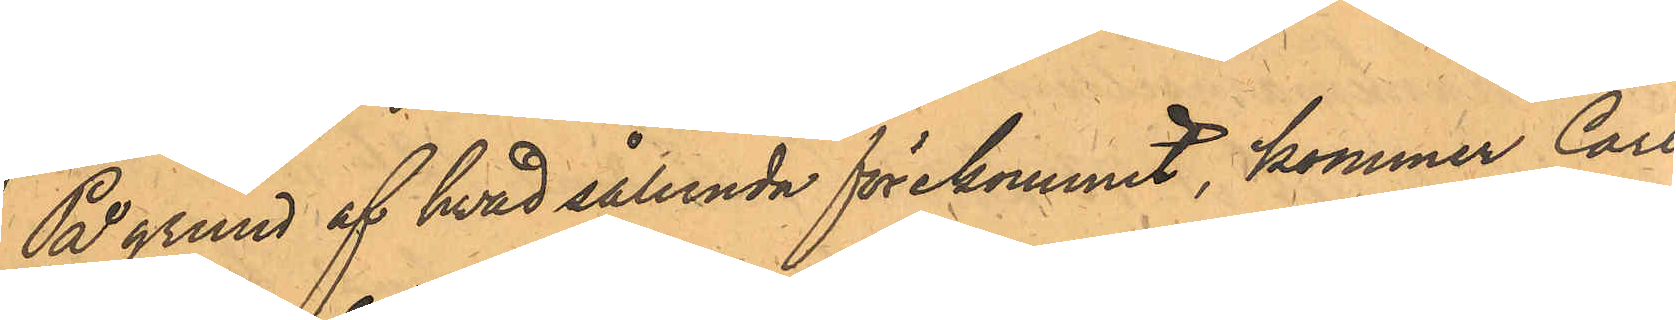På grund af hvad sålunda förekommit, kommer Carl
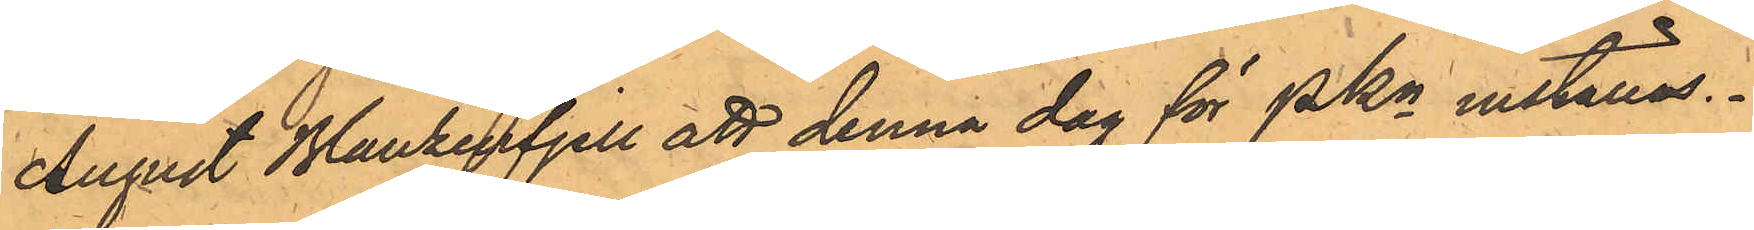August Blankenfjell att denna dag för PKn inställas.
